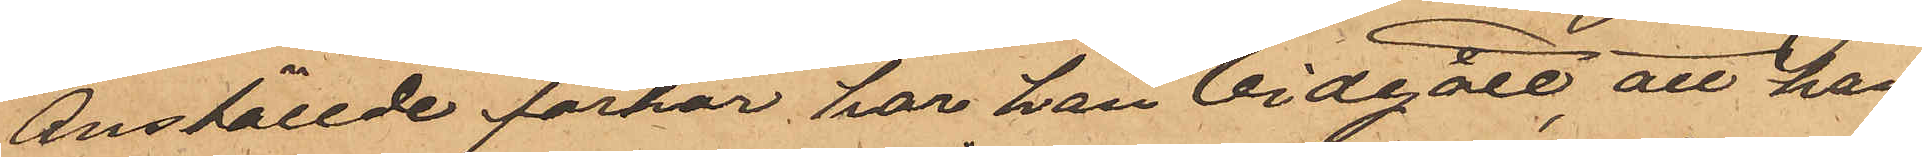anställde förhör, har han vidgått att han
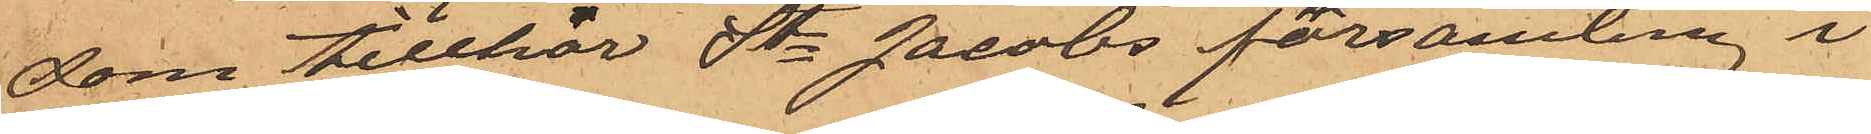som tillhör St. Jacobs församling i
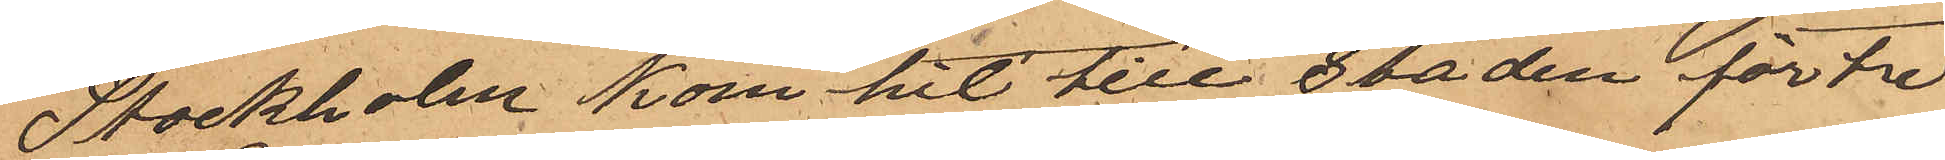Stockholm kom hit till Staden för tre
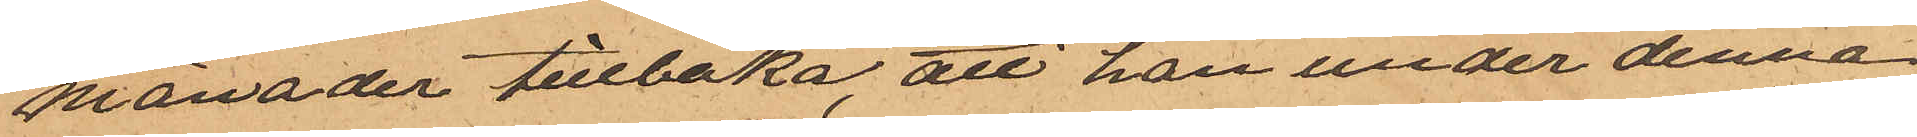månader tillbaka att han under denna
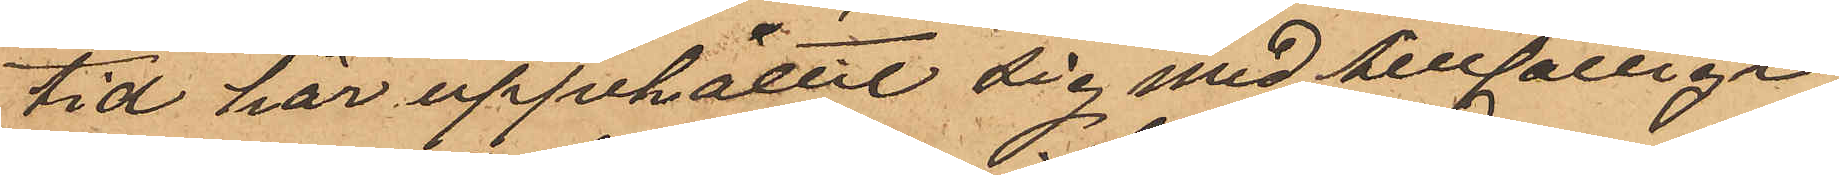tid här uppehållit sig med tillfälligt
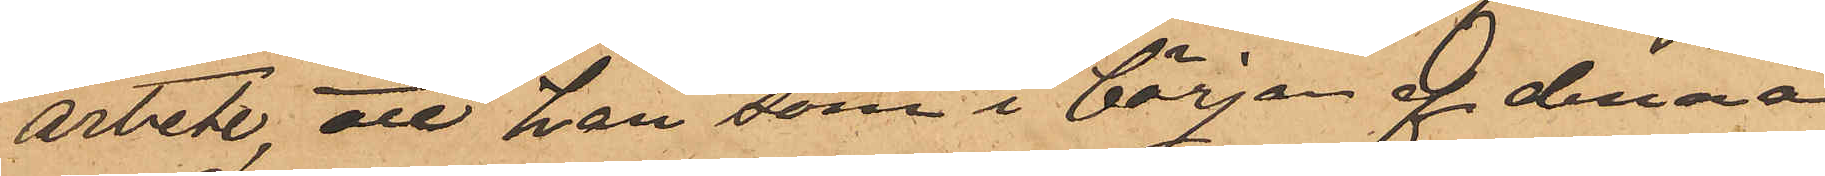arbete, att han, som i början af denna
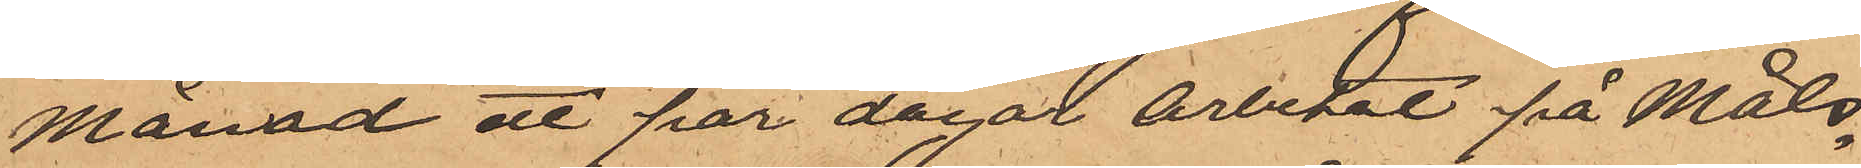månad ett par dagar arbetat på måls¬
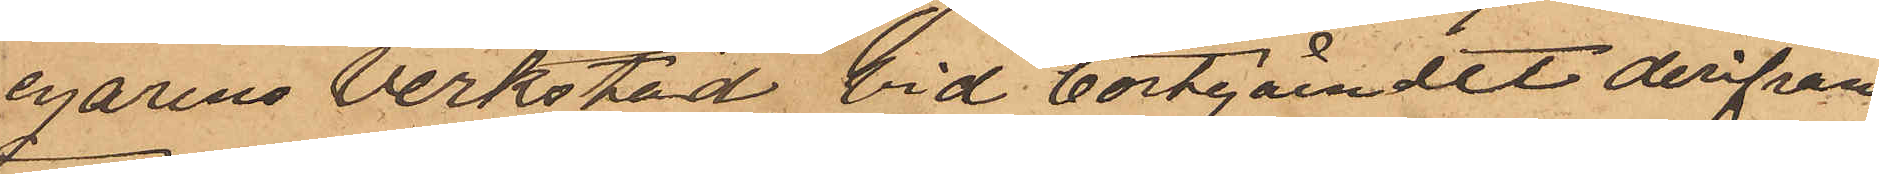egarens verkstad, vid bortgåendet derifrån
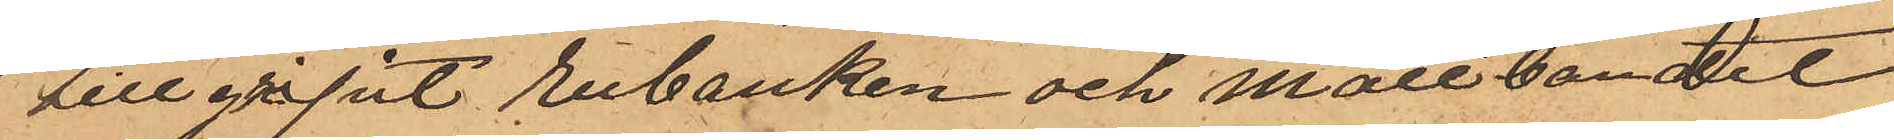tillgripit rubanken och måttbandet
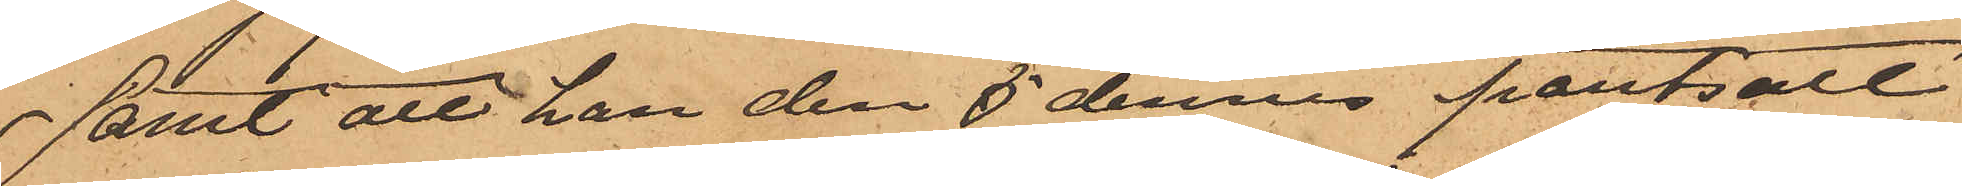samt att han den 5 dennes pantsatt
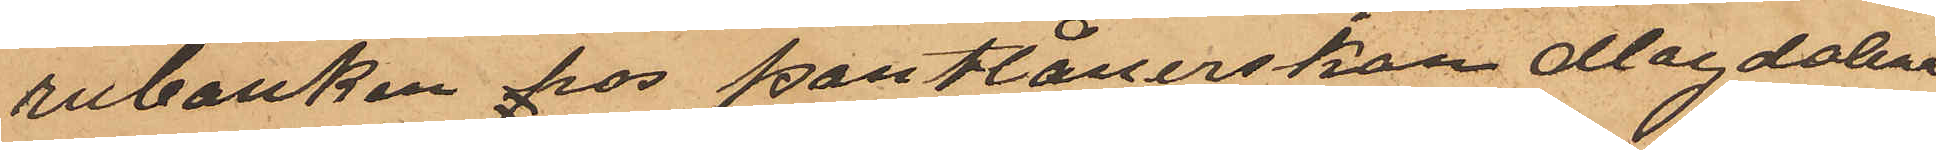rubanken hos Pantlånerskan Magdalena
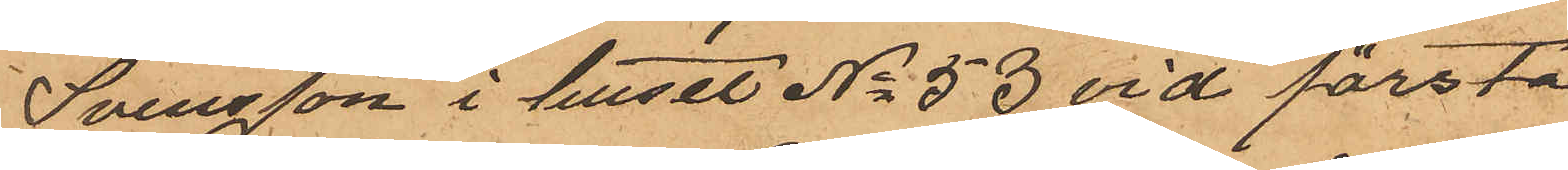Svensson i huset No 53 vid första
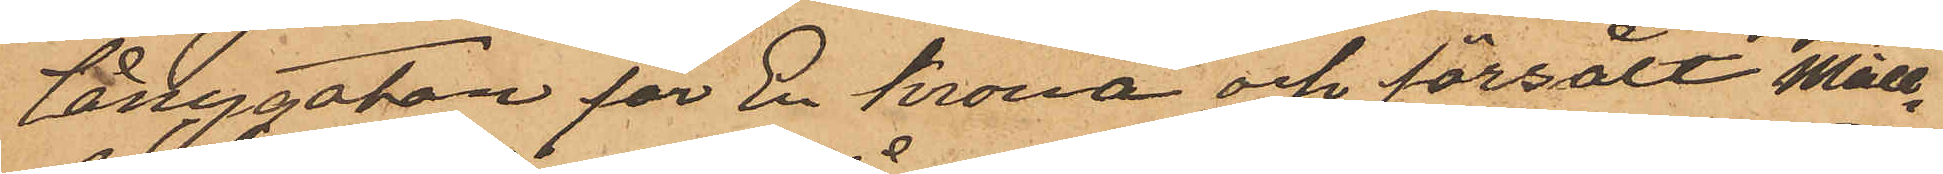Långgatan för En krona och försålt Mått¬
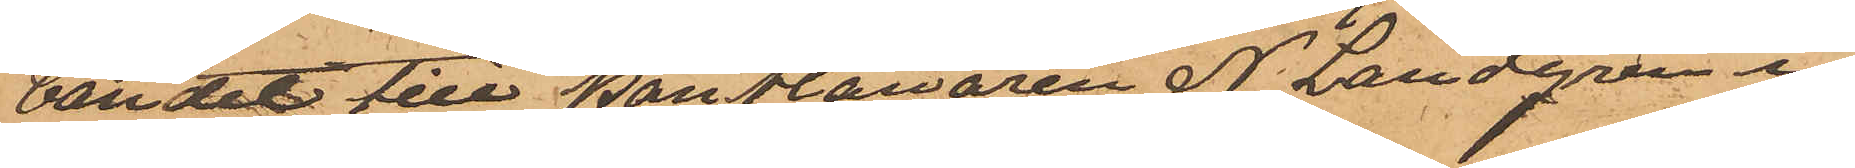bondet till Pantlånaren N. Landgren i
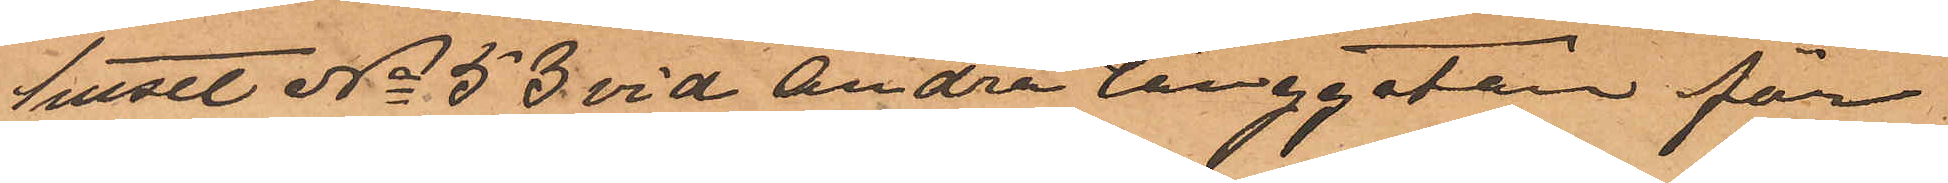huset No 53 vid Andra Långgatan för
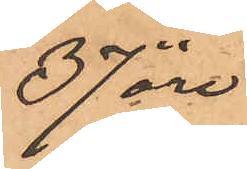37 öre
